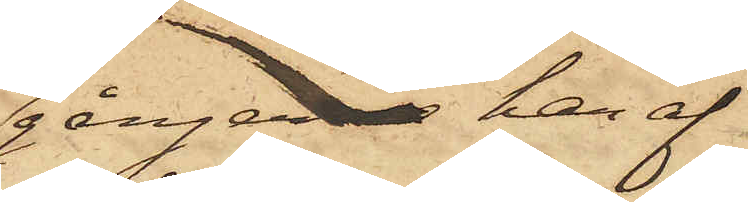gånger han af
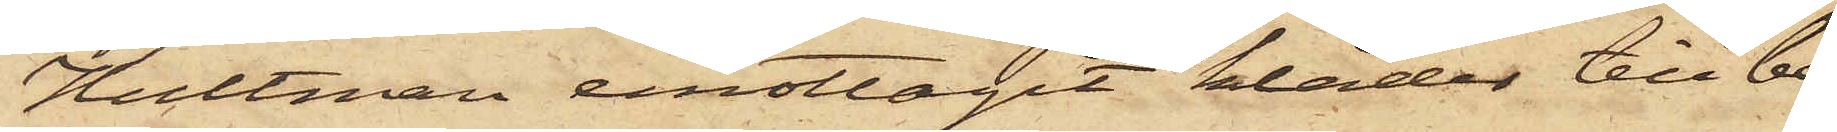Hultman emottagit kläder till be¬
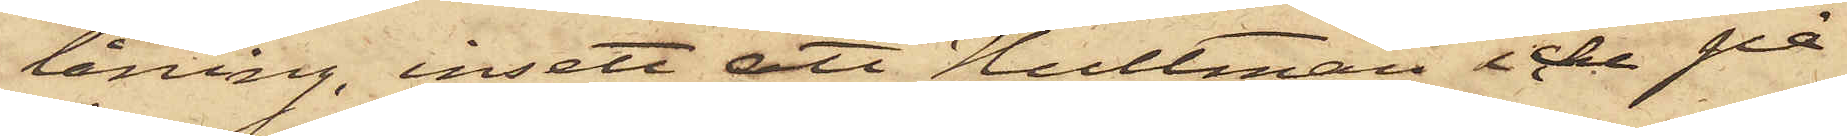låning, insett att Hultman icke på
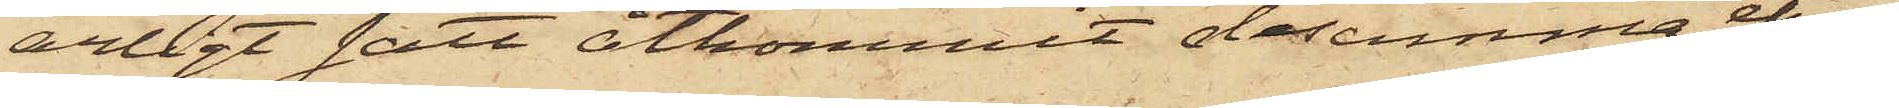ärligt sätt åtkommit desamma, ehu¬
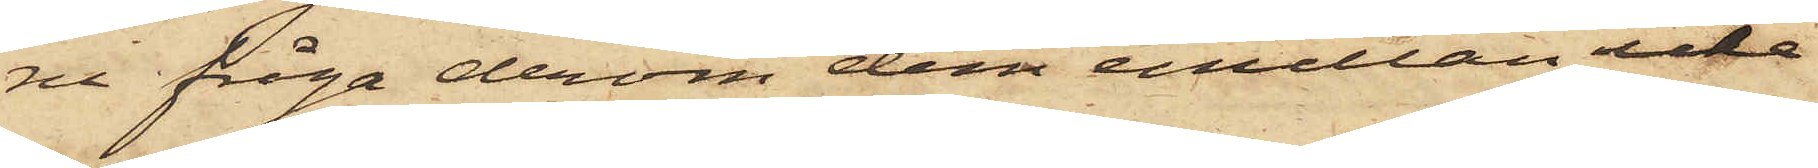ru fråga derom dem emellan icke
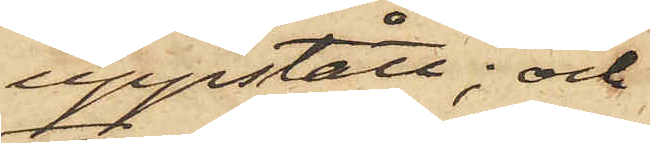uppstått; och
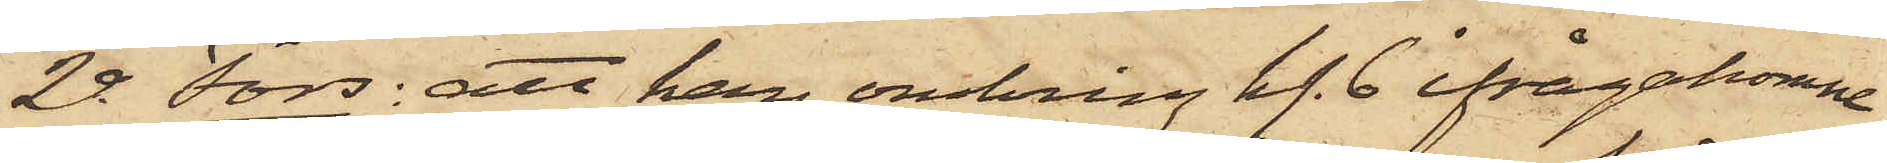2o Fors: att han omkring kl. 6 ifrågakomne
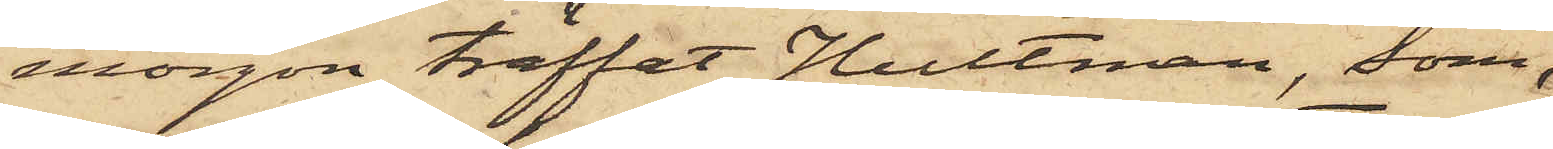morgon träffat Hultman, som
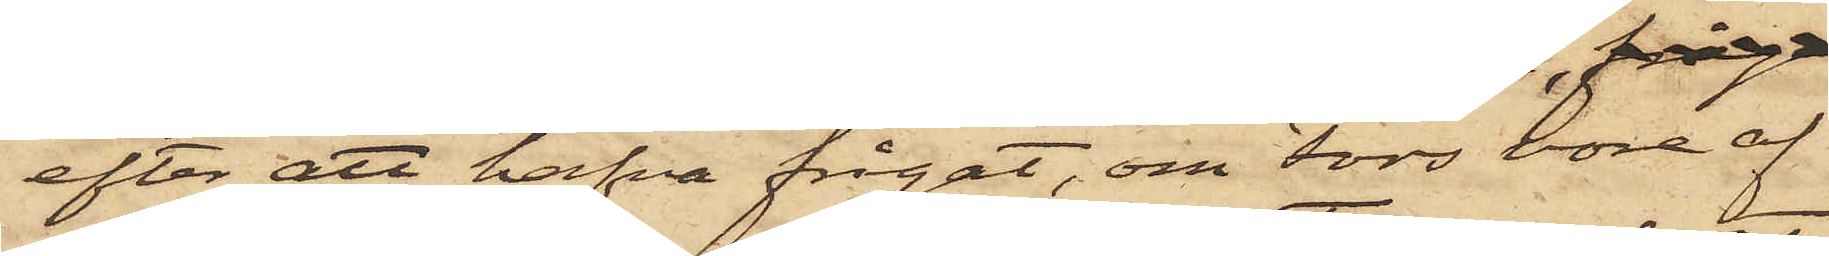efter att hafva frågat, om Fors vore af
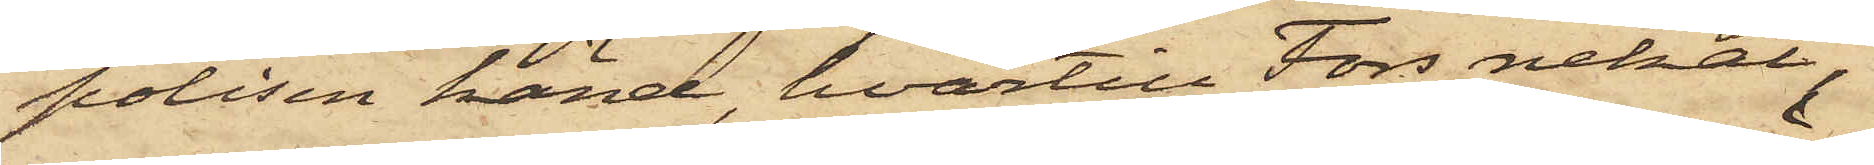polisen känd, hvartill Fors nekat,
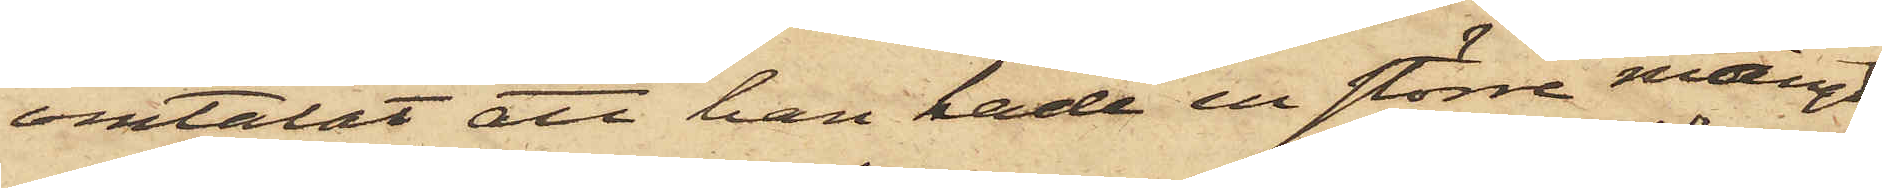omtalat att han hade en större mängd
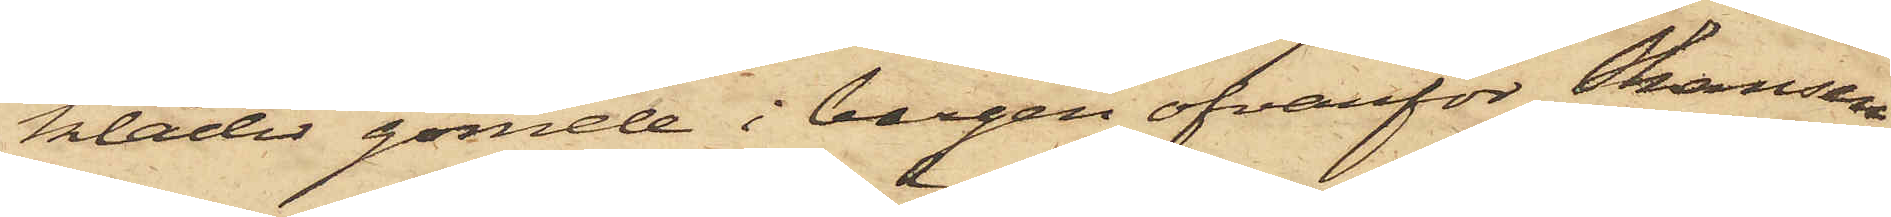kläder gömde i bergen ofvanför Skansen
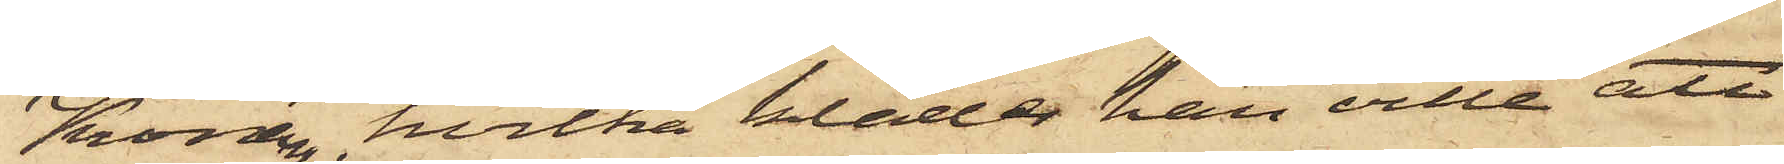Kronan, hvilka kläder han ville att
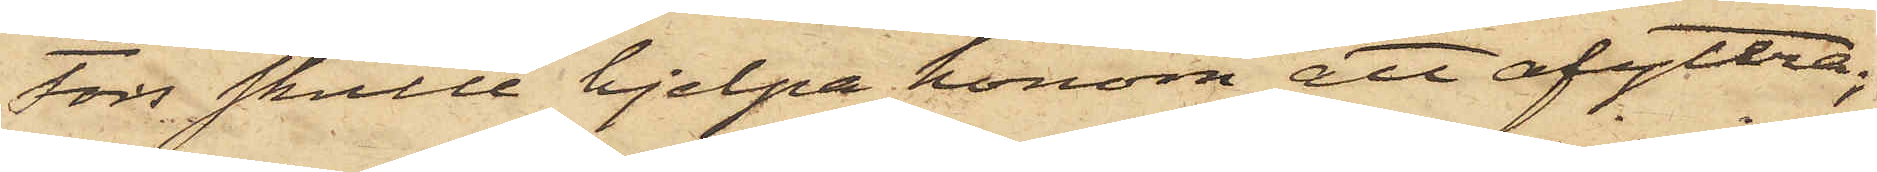Fors skulle hjelpa honom att afyttra;
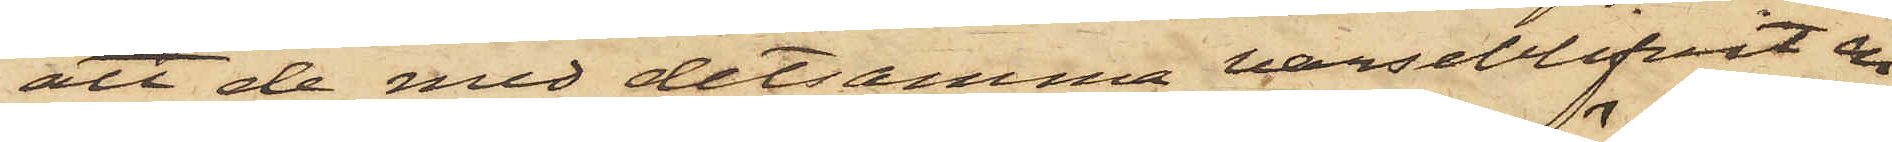att de med detsamma varseblifvit en
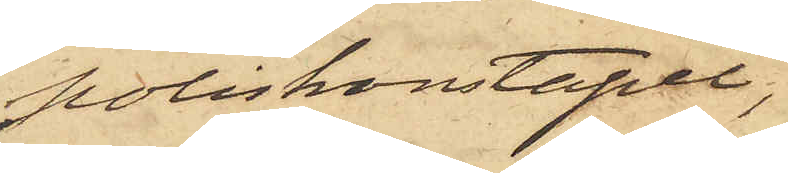poliskonstapel,
